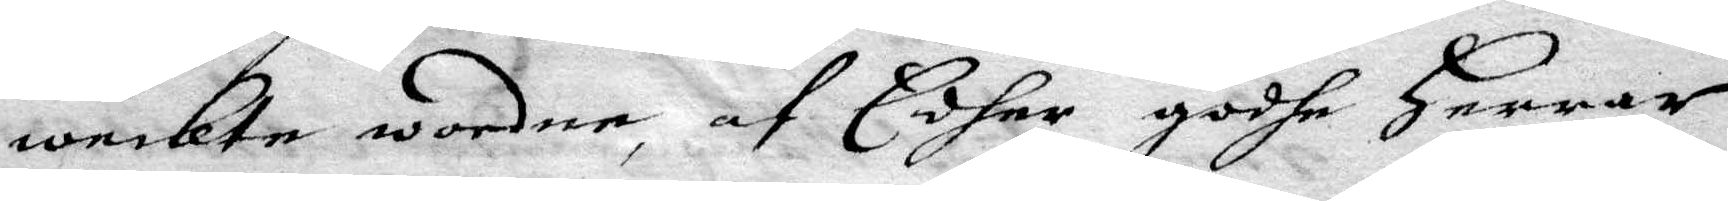wekte wordne, af Edher godhe Herrar
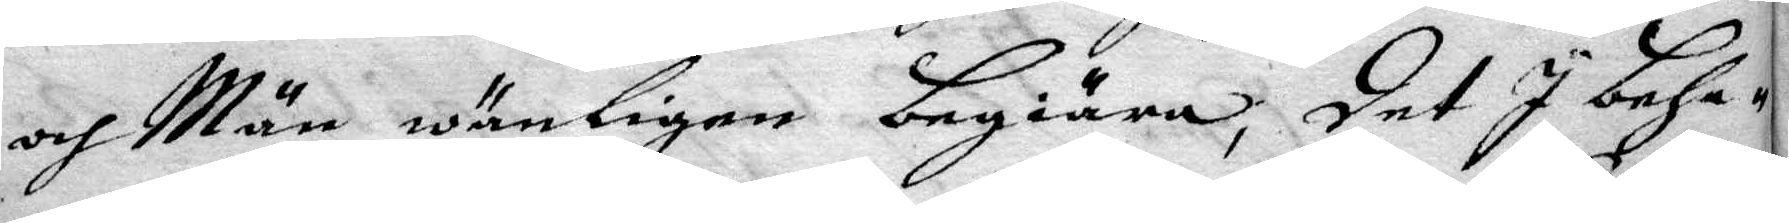och Män wänligen begiära, det I beha¬
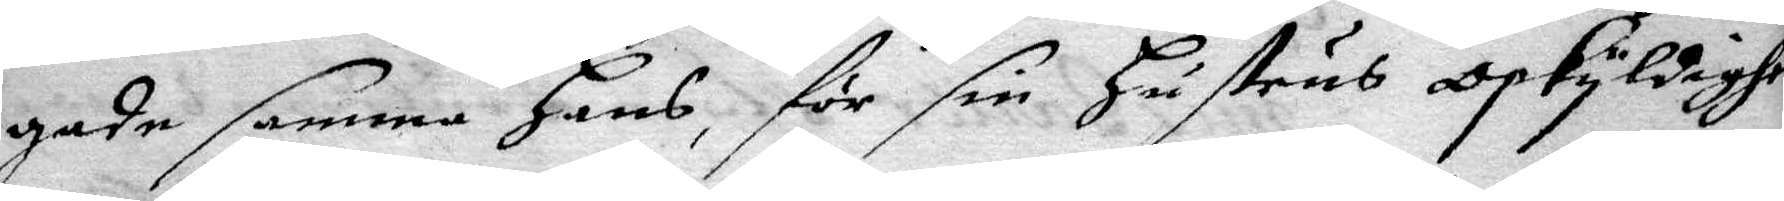gade samma Hans, för sin Hustrus Oskyldighe
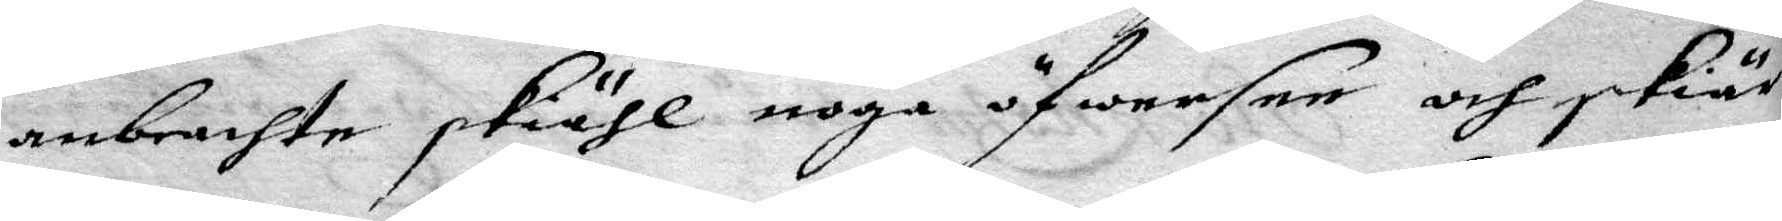anbrachte skiähl noga öfwersee och skär¬
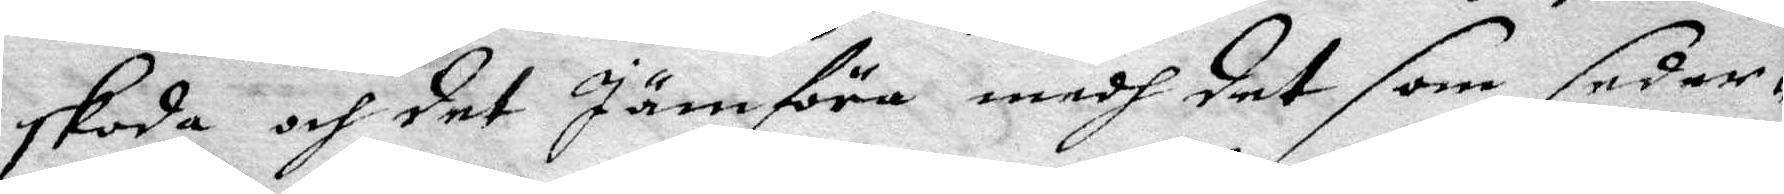skoda och det Jämföra medh det som seder¬
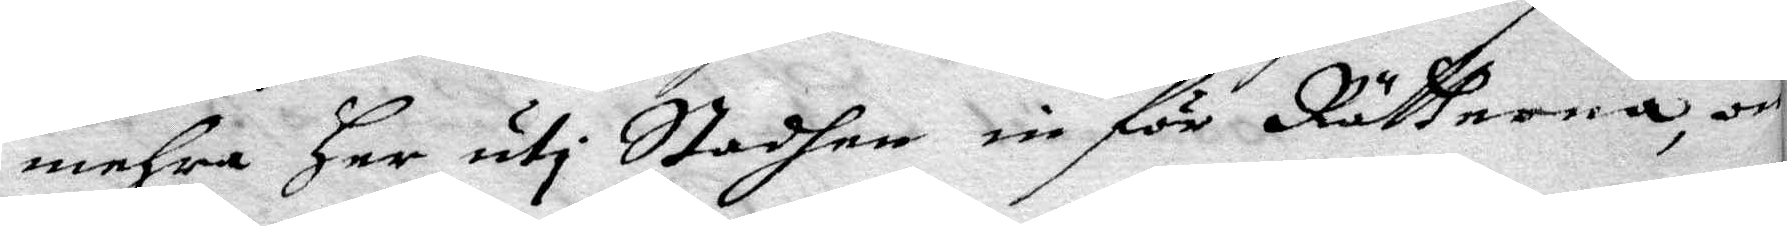mehra har uti Staden in för Rättserna, om
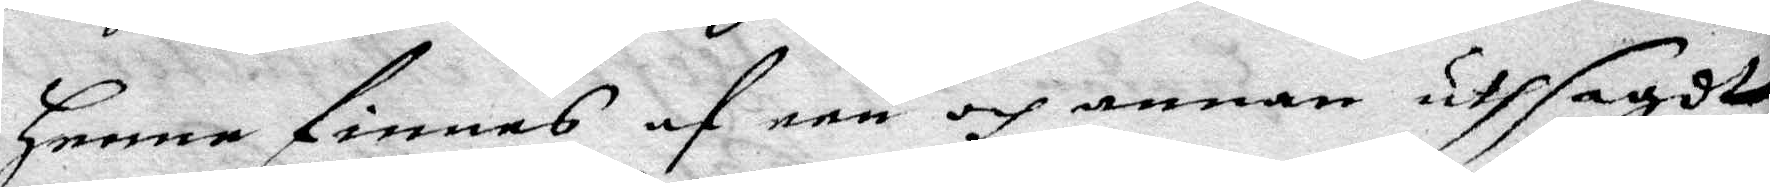henne finnas af een och annan uthsagdt
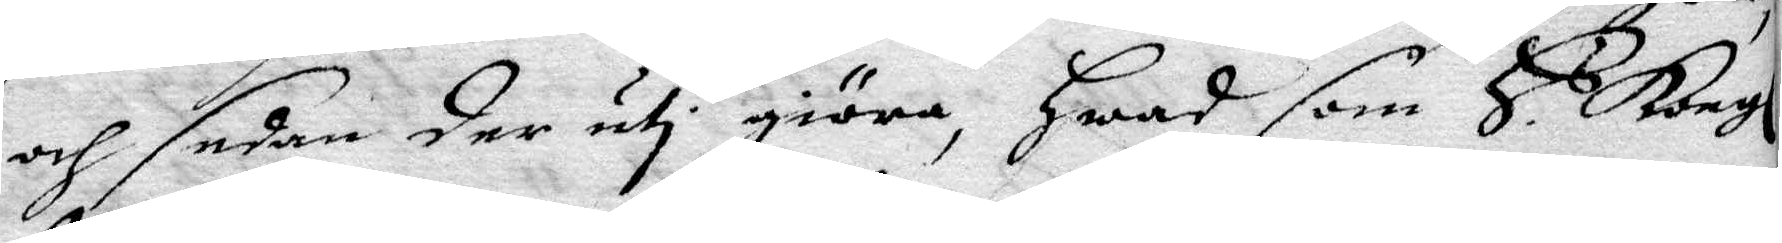och sedan der uti giöra, Hwad som H s Kongl
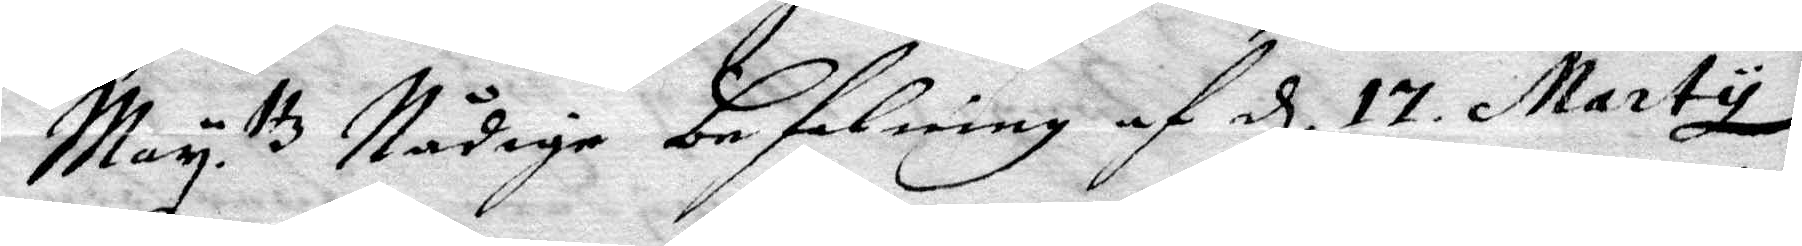May ttz Nådige befallning af d 17 Marty
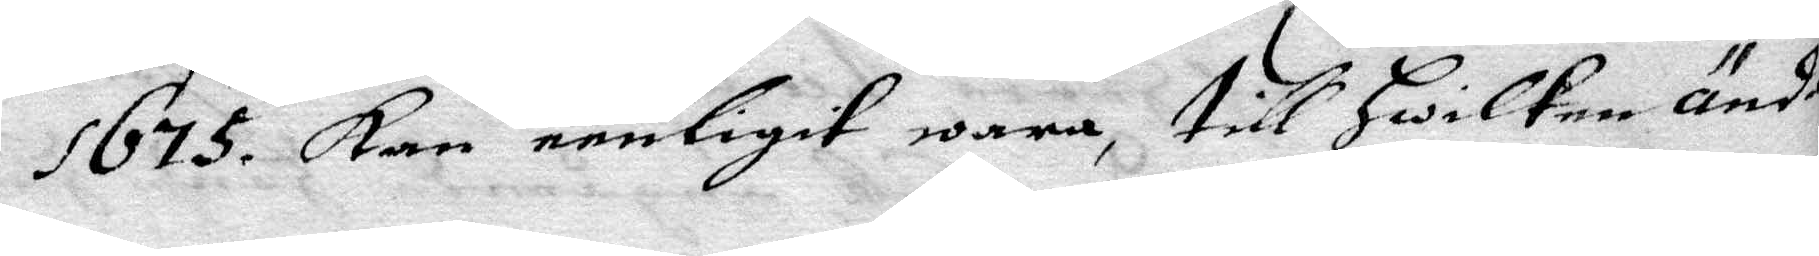1675. Kan eenligit wara, till Hwilken änd
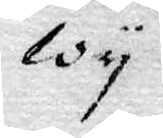wy
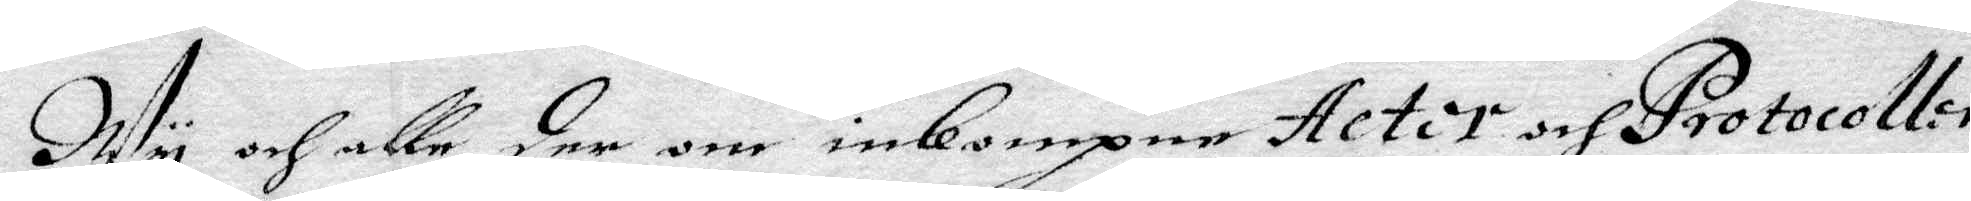Wy och alle der om inkompne Actor och protocollor
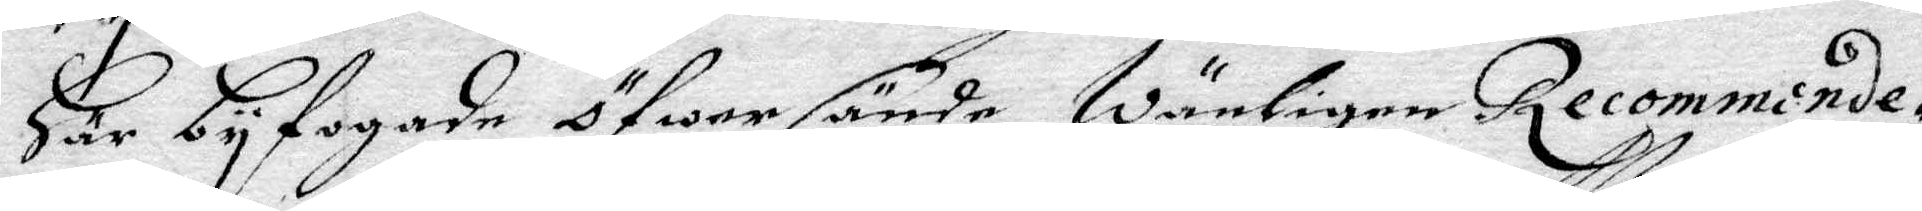Här byfogade öfwer sände, Wänligen Recommende¬
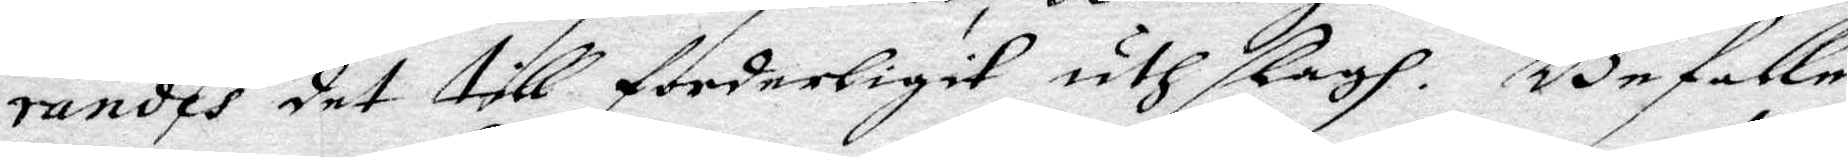randes det till forderligit uthslagh. Befalle
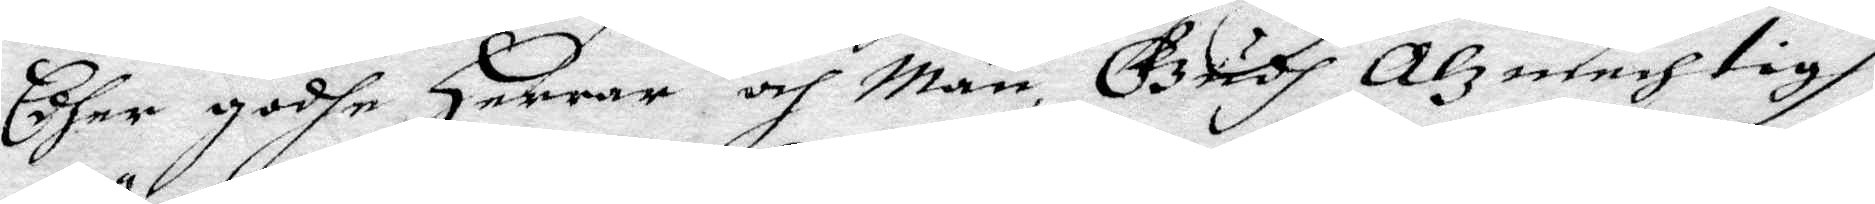Edher godhe Herrar och Män, Gudh Alzmechtigh
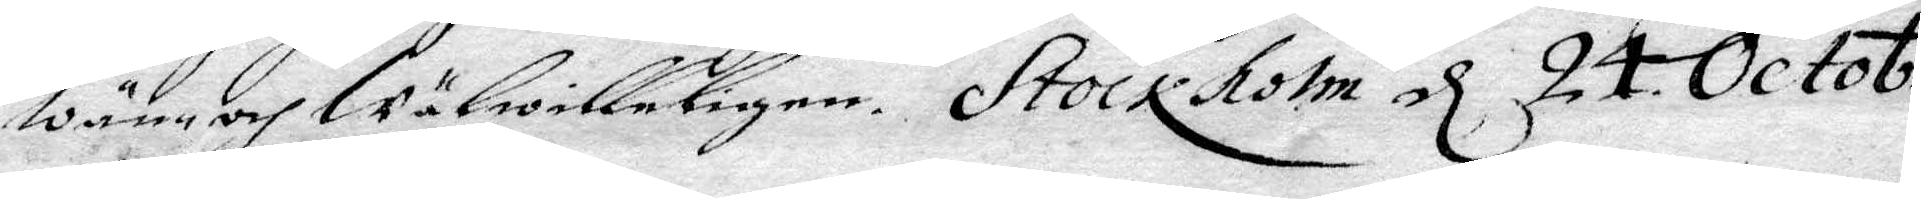Wän- och Wälwilleligen. Stockholm d 24 Octob.
